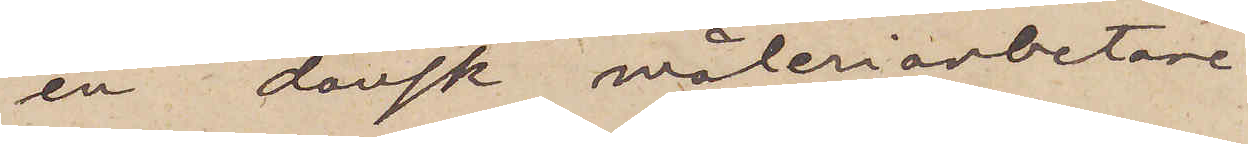en dansk måleriarbetare
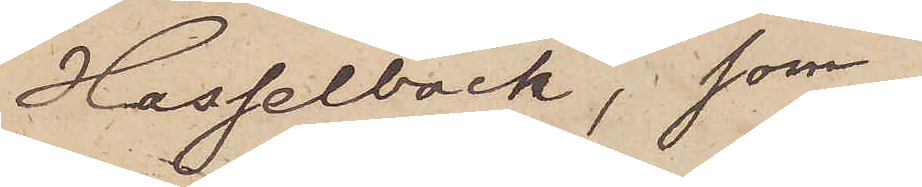Hasselback, som
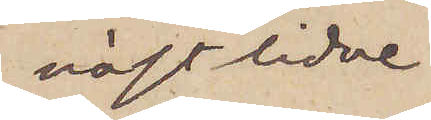nästlidne
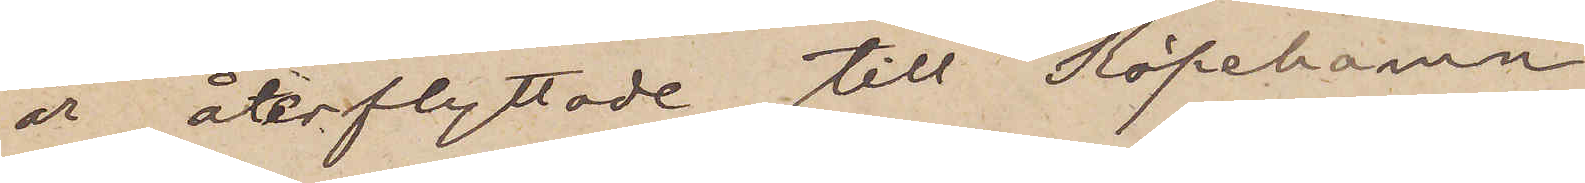år återflyttade till Köpehamn
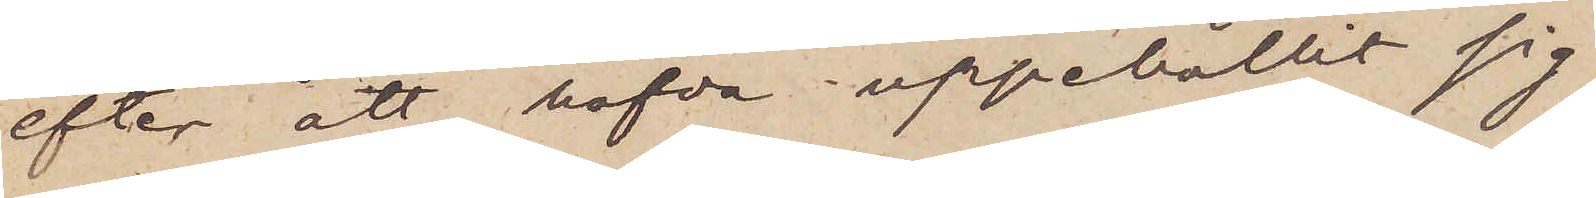efter att hafva uppehållit sig
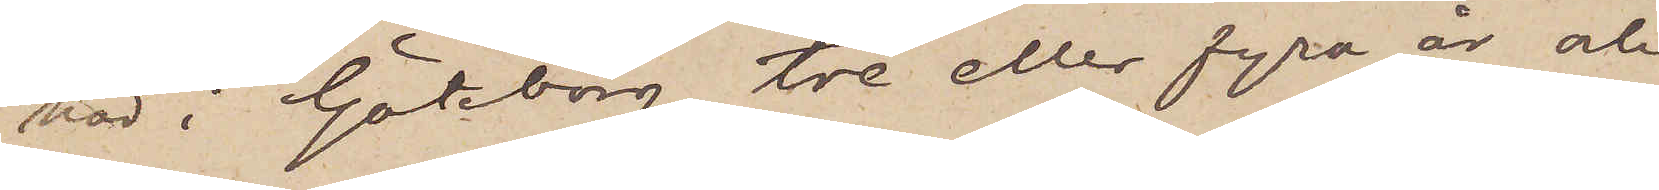här i Göteborg tre eller fyra år och
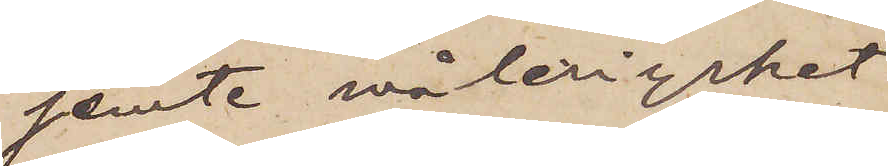jemte måleriyrket
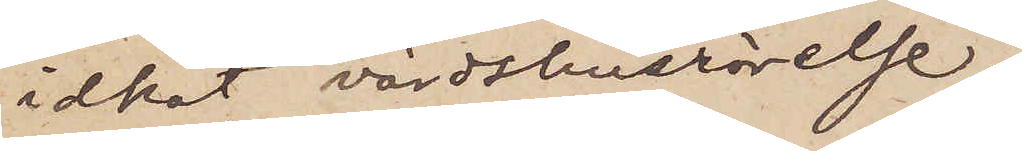idkat värdshusrörelse,
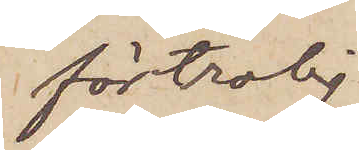förtrolig
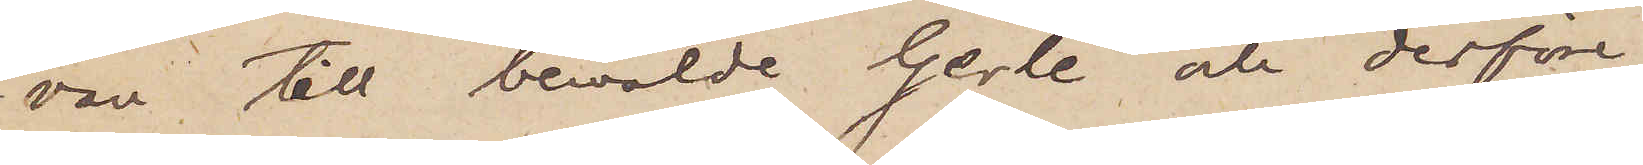vän till bemälde Gerle och derföre
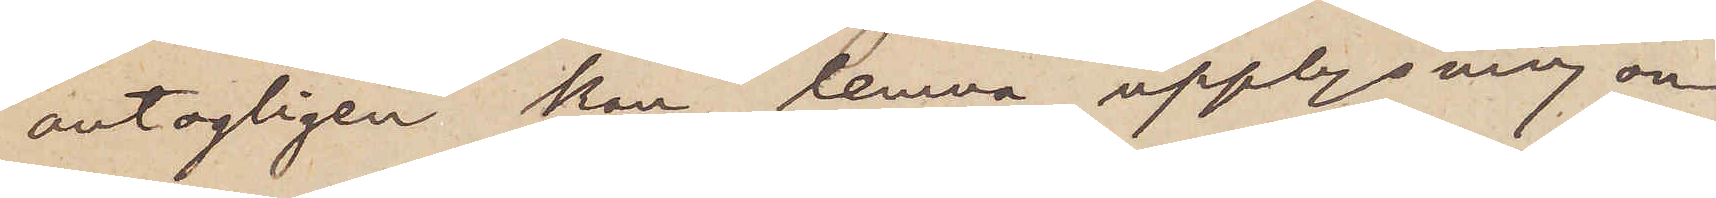antagligen kan lemna upplysning om
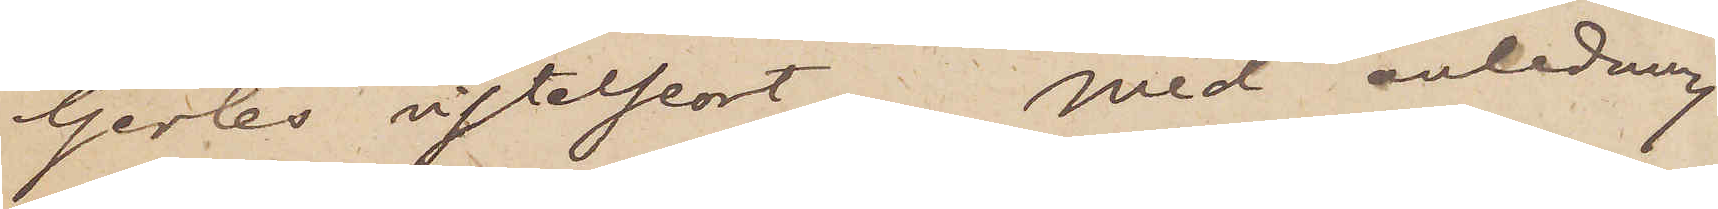Gerles vistelseort. Med anledning
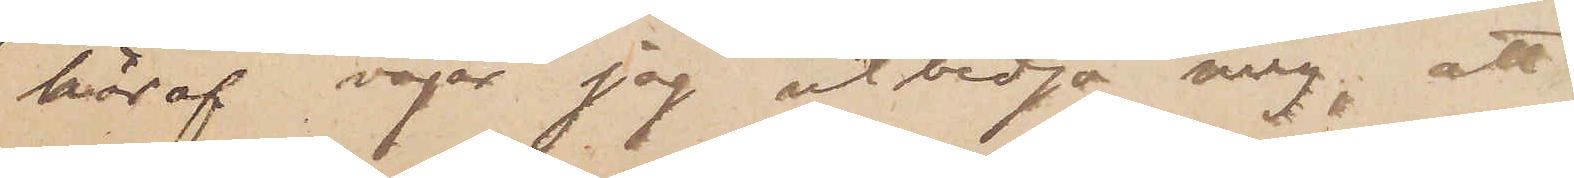häraf vågar jag utbedja mig, att
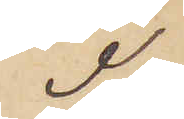I
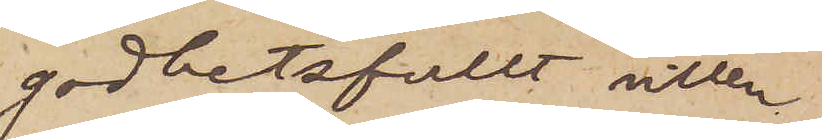godbetsfullt villen
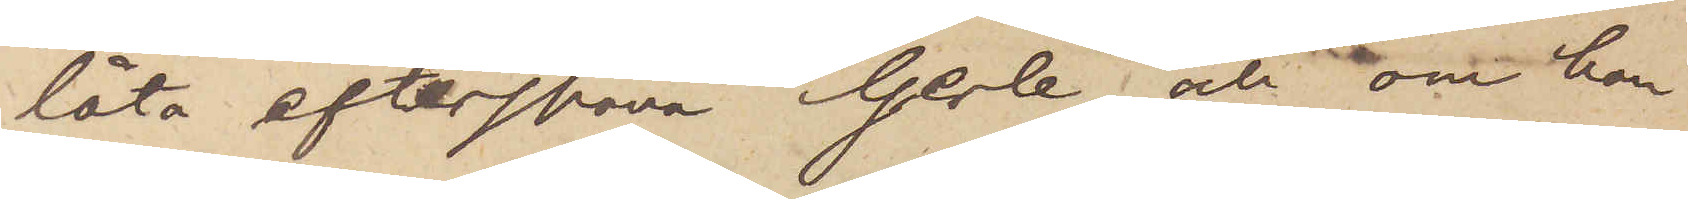låta efterspana Gerle och, om han
